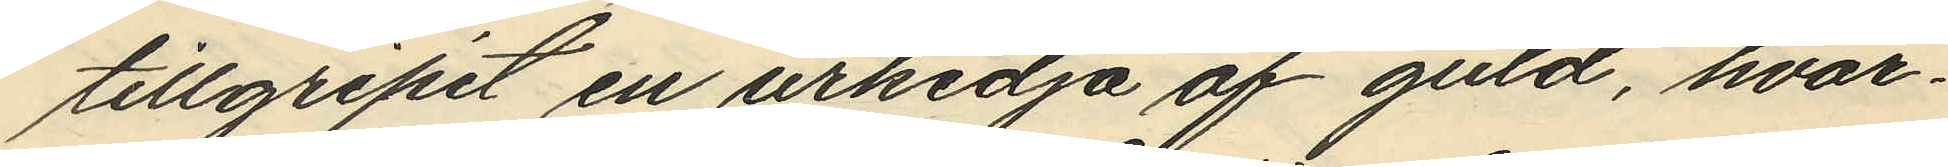tillgripit en urkedja af guld, hvar¬
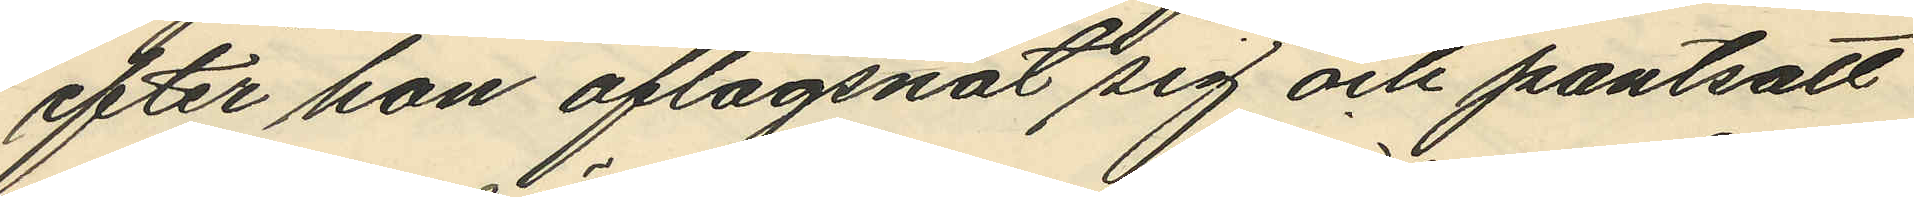efter hon aflägsnat sig och pantsatt
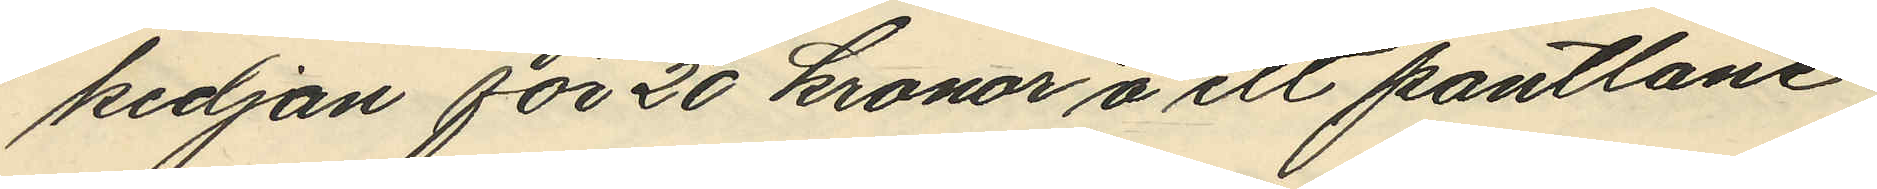kedjan för 20 kronor å ett pantlåne¬
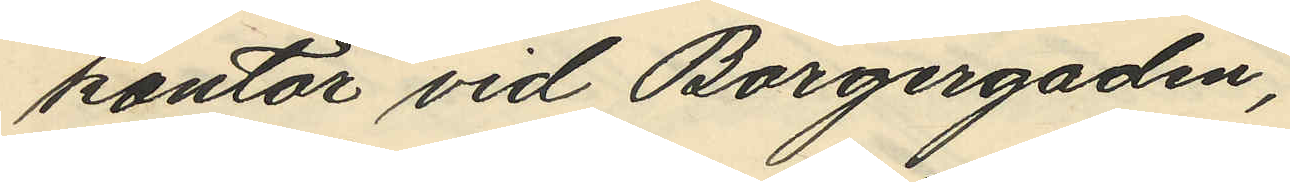kontor vid Borgergaden;
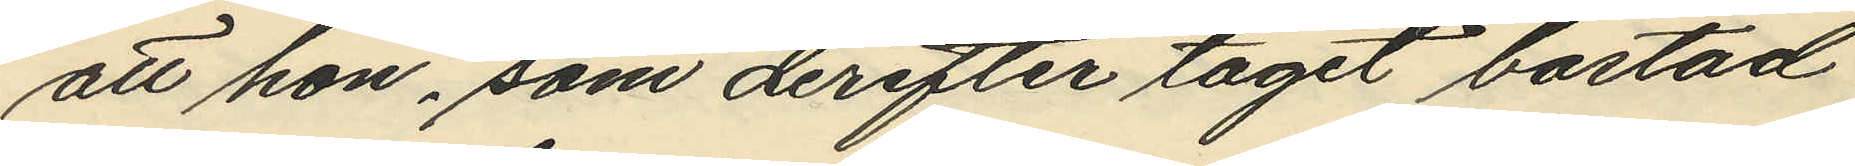att hon, som derefter tagit bostad
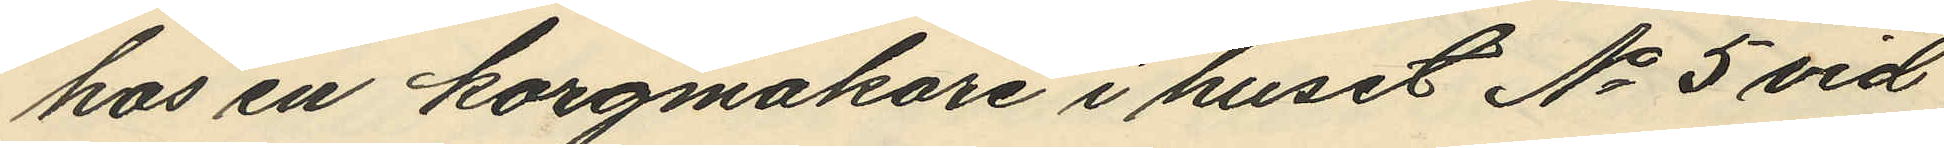hos en korgmakare i huset No 5 vid
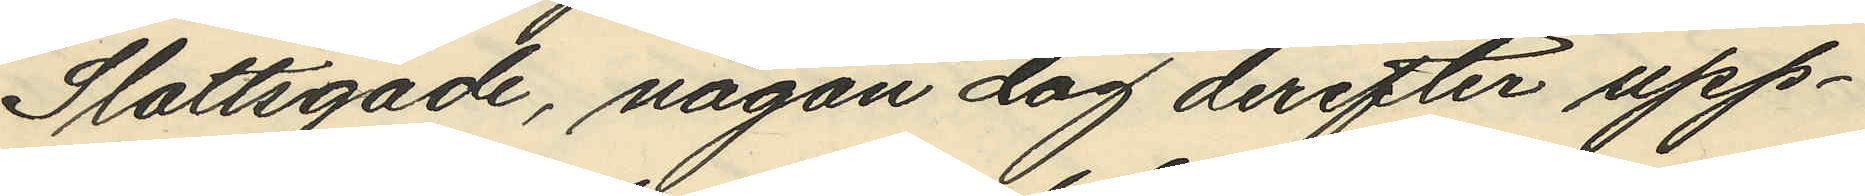Slottsgade, någon dag derefter upp¬
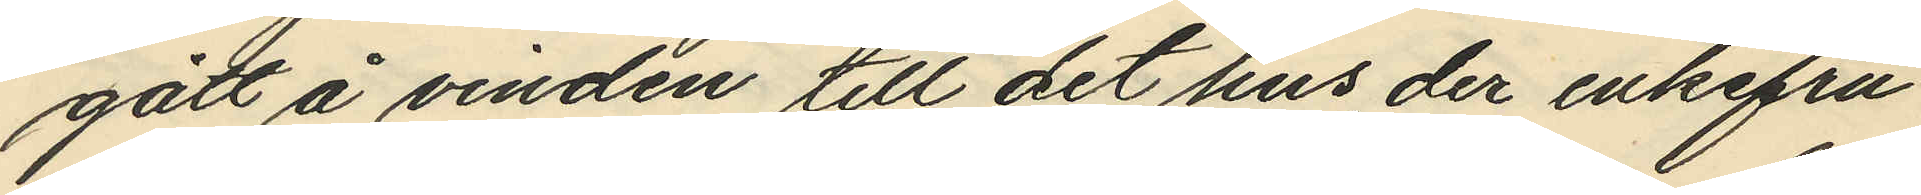gått å vinden till det hus, der enkefru
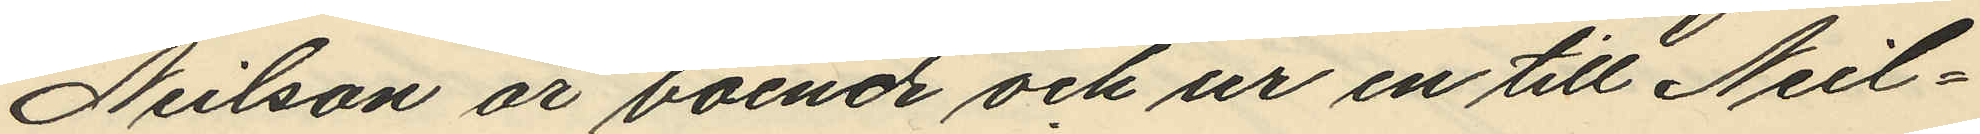Neilson är boende och ur en till Neil¬
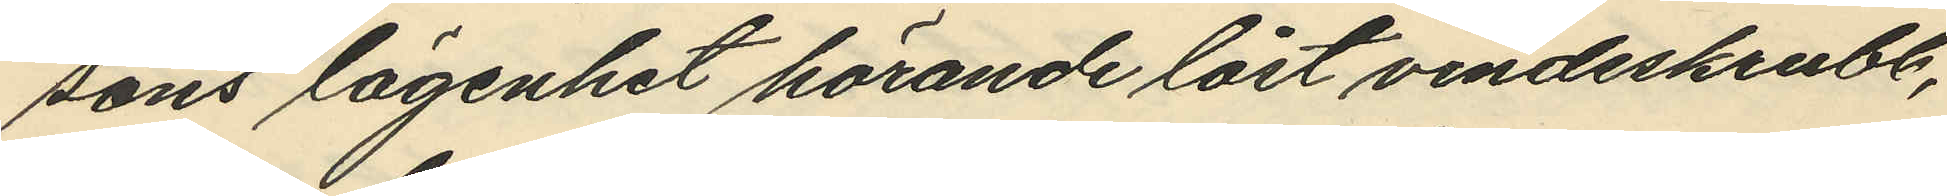sons lägenhet hörande låst vindeskrubb,
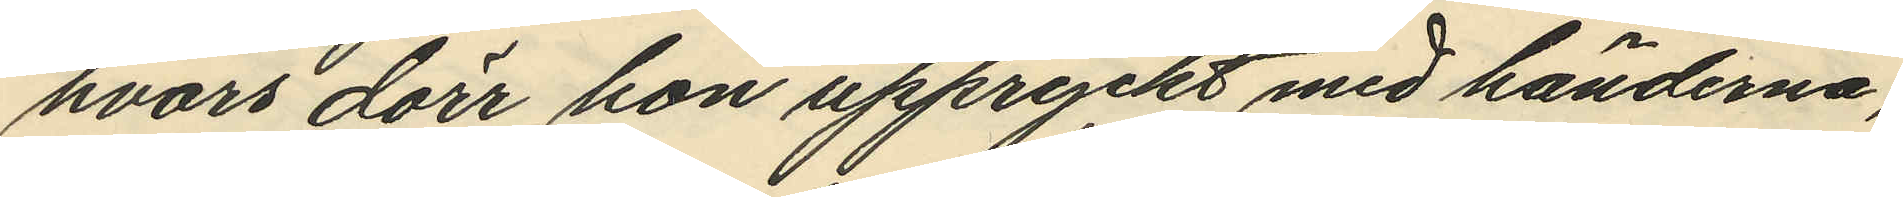hvars dörr hon uppryckt med händerna,
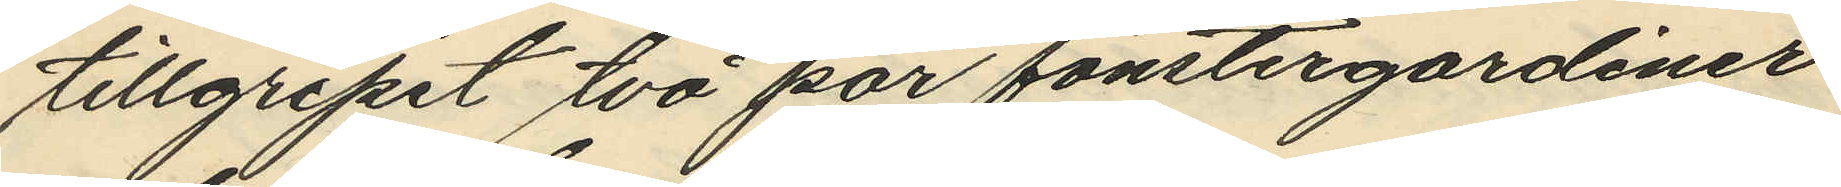tillgripit två par fönstergardiner
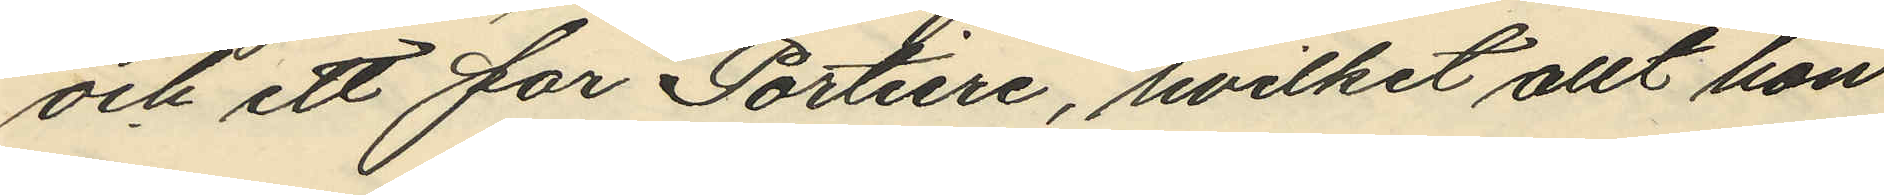och ett parr Portiere, hvilket allt hon
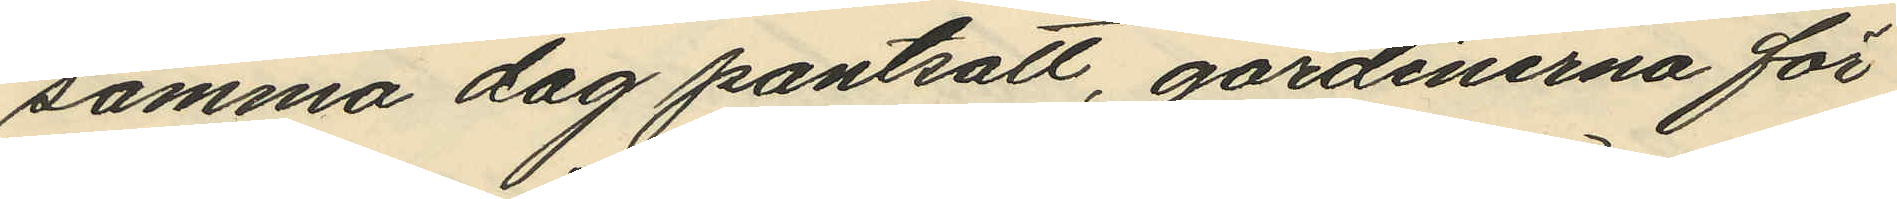samma dag pantsatt, gardinerna för
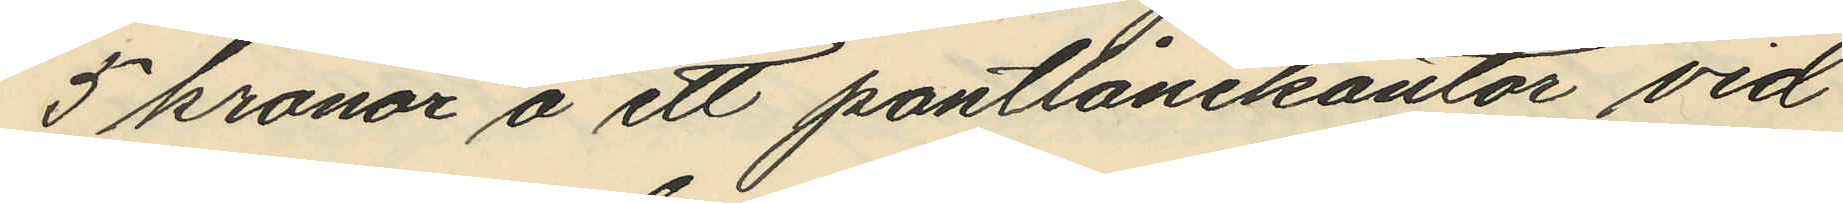5 kronor å ett pantlånekontor vid
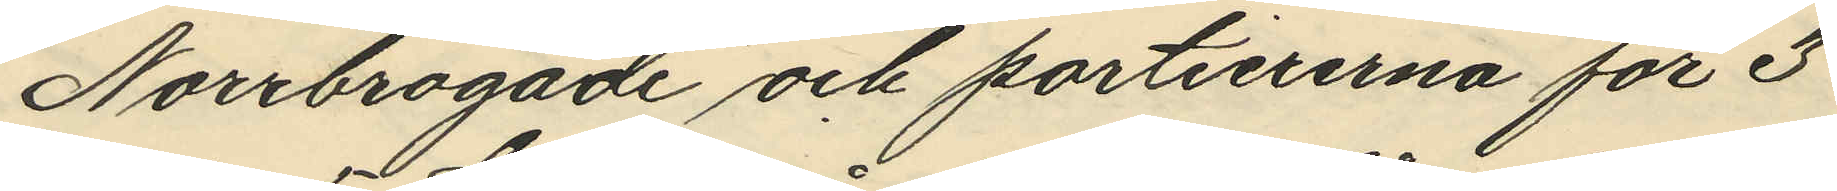Norrbrogade och portiererna för 3
